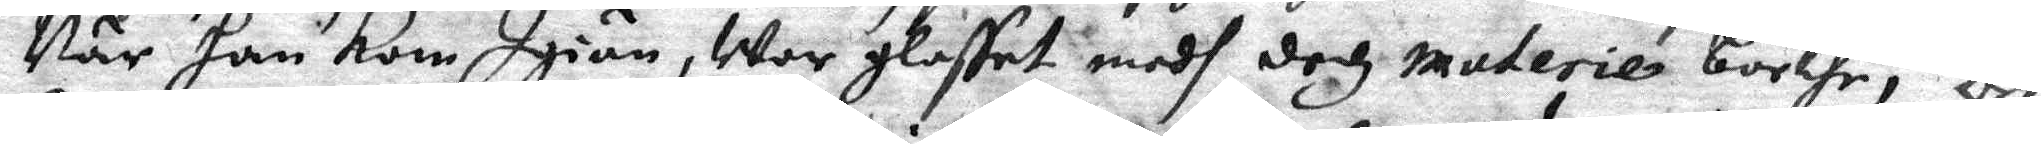När han Kom Igiän, war glasset medh dedz materie borthe, och
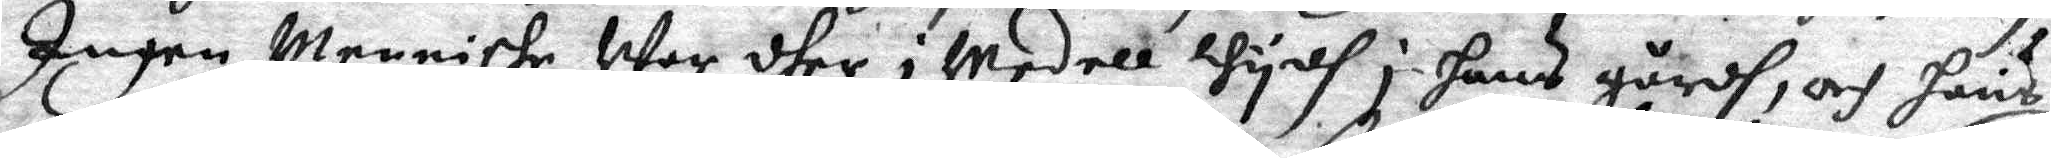Ingen Menniske War dher i medell thydh i hans gårdh, och hans
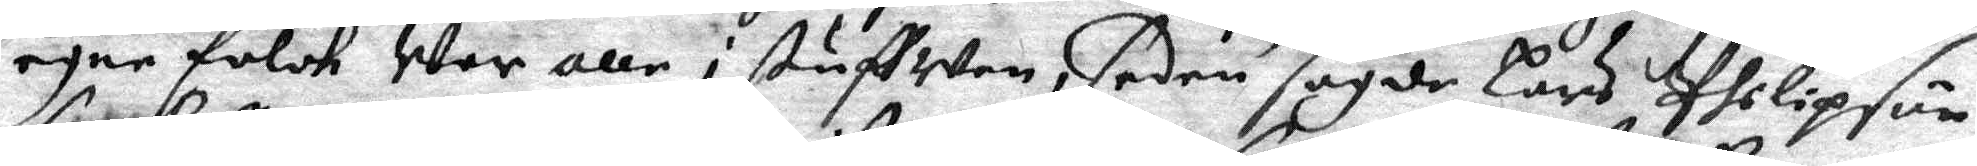egne folck War alle i stuffwen, sedan sagde Lars philipson,
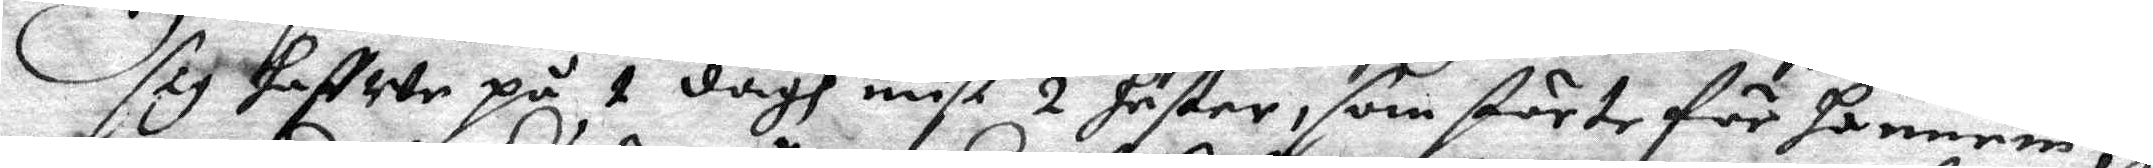sig haffwe på 1 dagh mist 2 häster, som störte för honnen,
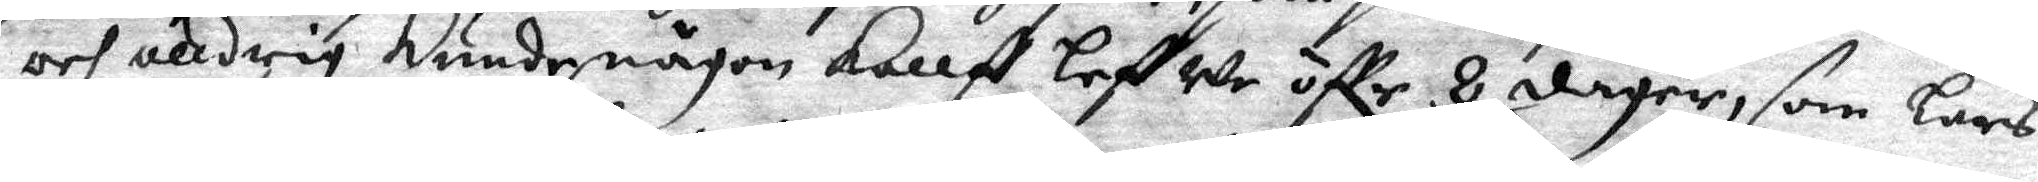och alldrig kunde någon kallf lefwe öffr 8 dager, som Lars
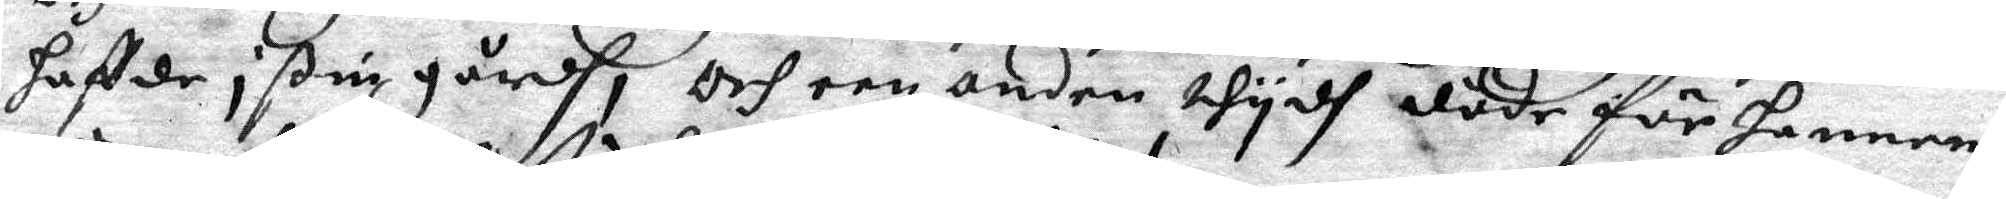haffde i ßim gårdh, och een anden thydh döde för honnem
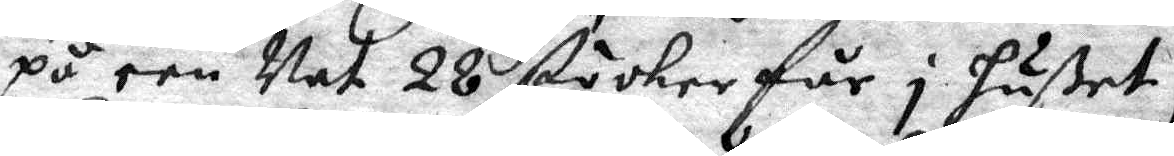på een Nat 28 stöcker får i hußet,
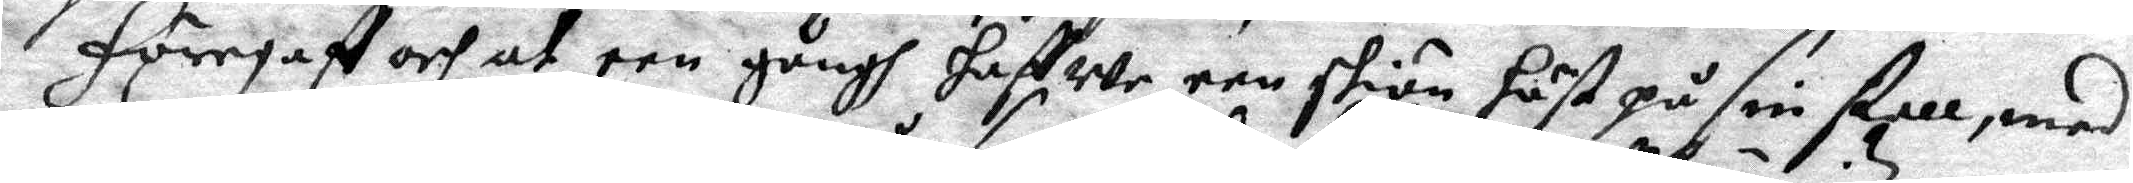Föregaff och at een gångh haffwe een skiön häst på sin stall, med
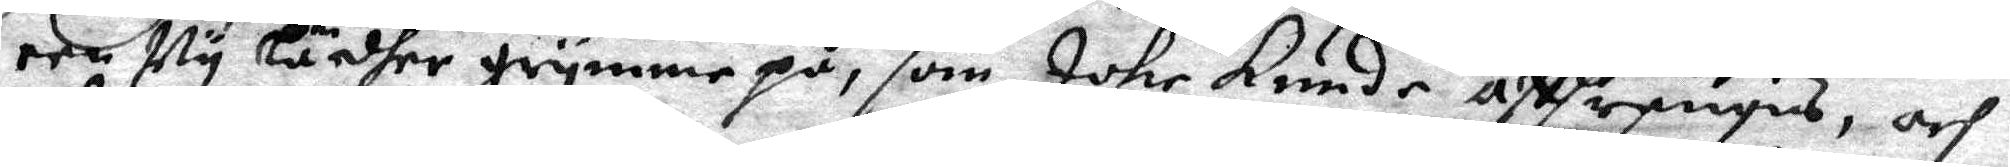een Ny lädher grymme på, som Icke Kunde affträngas, och
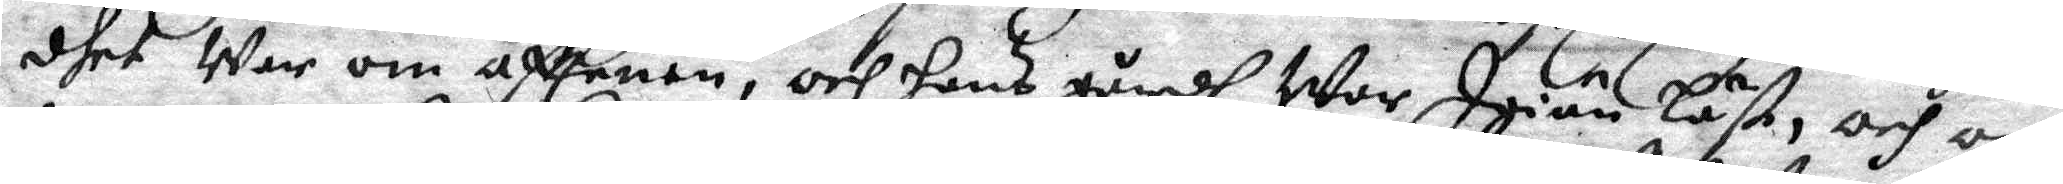dhet War om afftenen, och hans gårdh War Igiän låst, och om
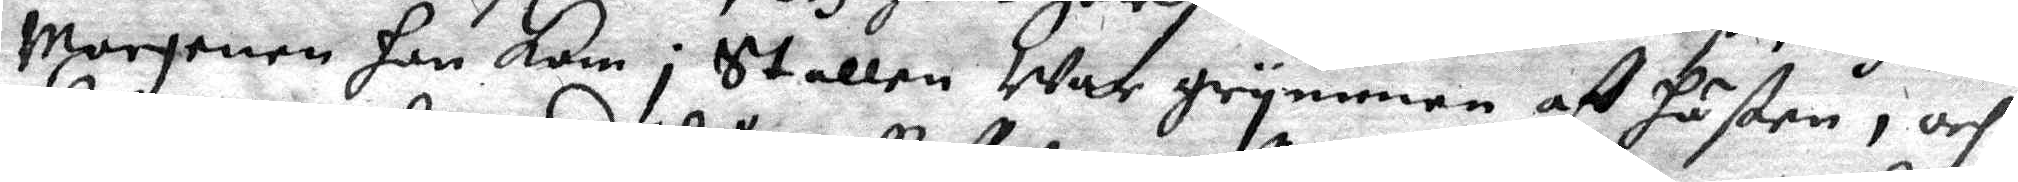Morgenen han kom i Stallen War grymmen af hästen; och
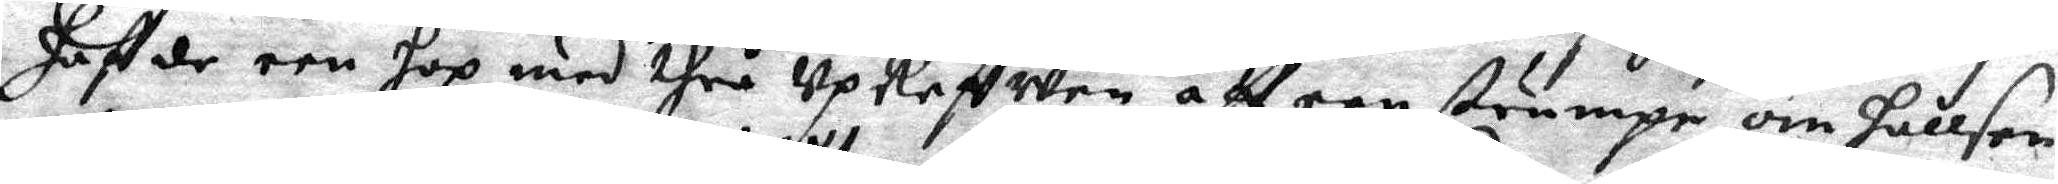haffde een hop med thrå Upkeffwen att een strumpe om hallsen
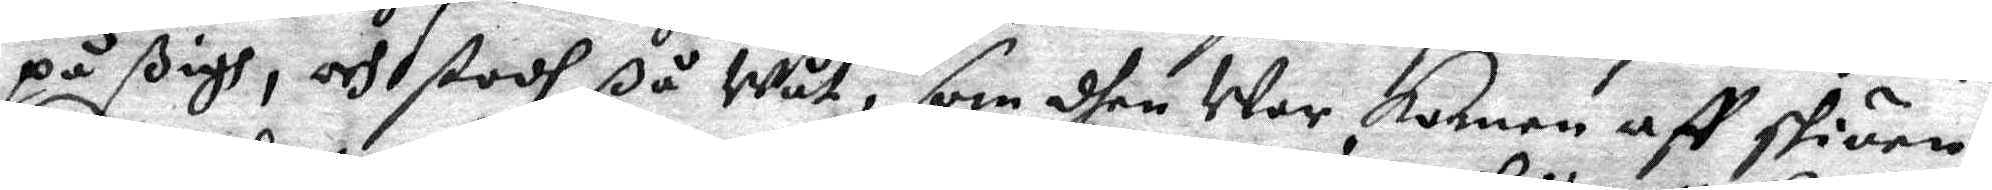på sigh, och stodh ßå Wåt, som dhen War komen aff sköen,
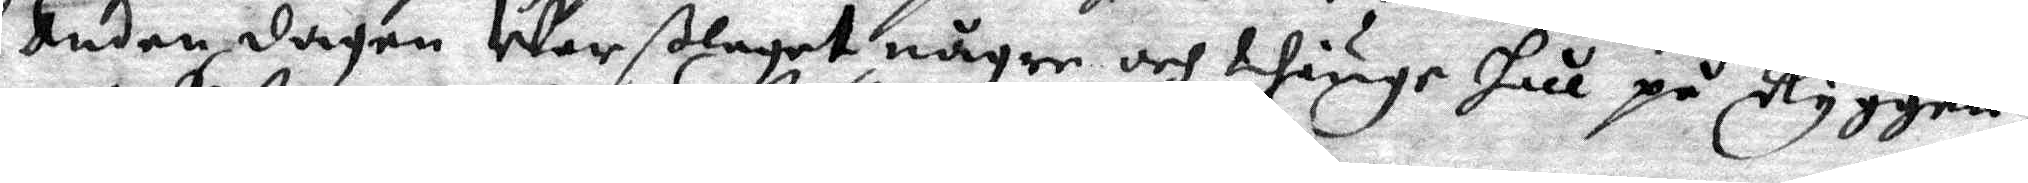anden dagen War ßlaget någre och thiuge hul på Ryggen
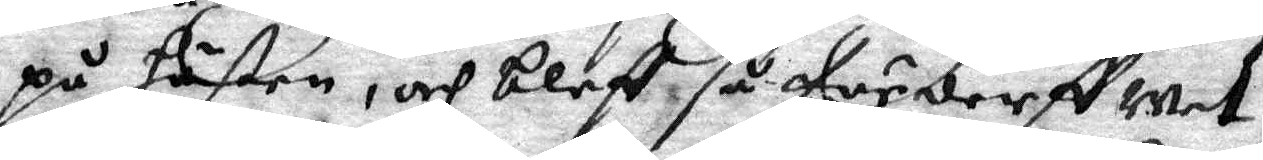på hästen, och bleff, så förderfwat,
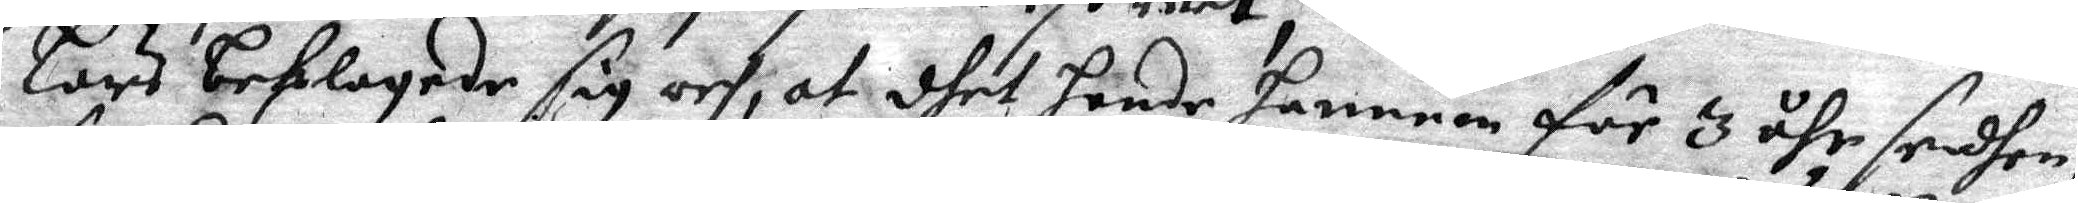Lars beslagade sig och, at dhet hende hannem för 3 åhr sedhen,
